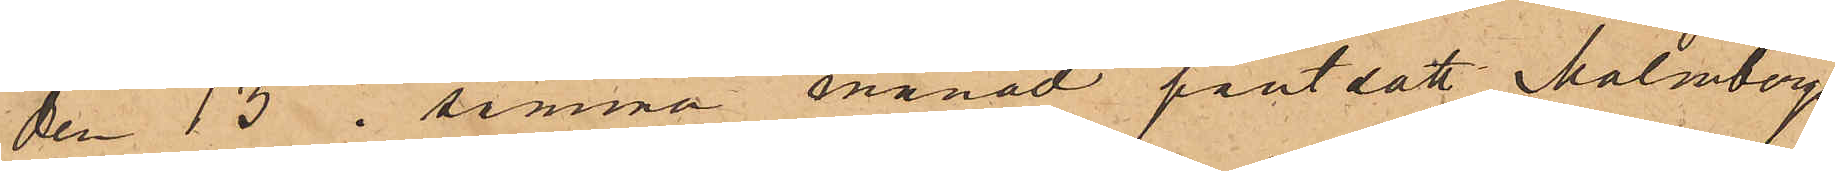den 13 i samma månad pantsatt Malmbergs
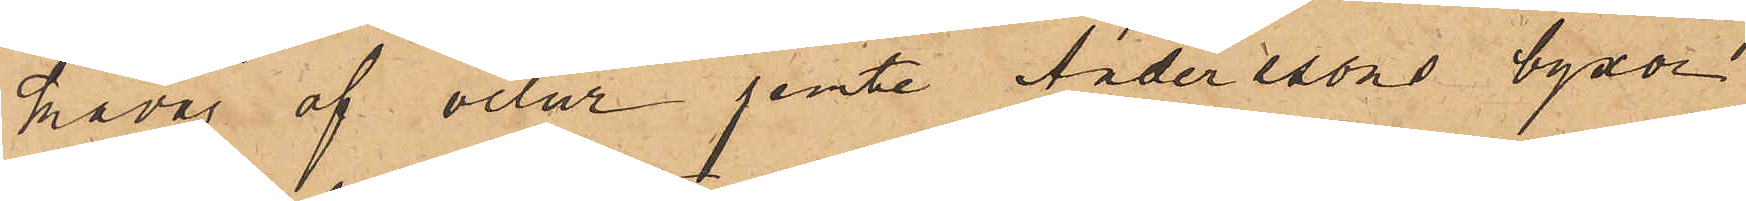kavaj af velur jemte Anderssons byxor
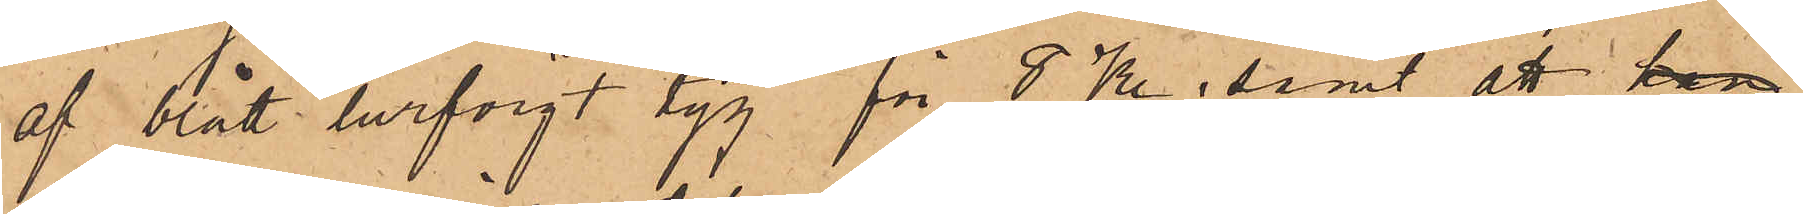af blått lurfvigt tyg för 8 Kr; samt att han
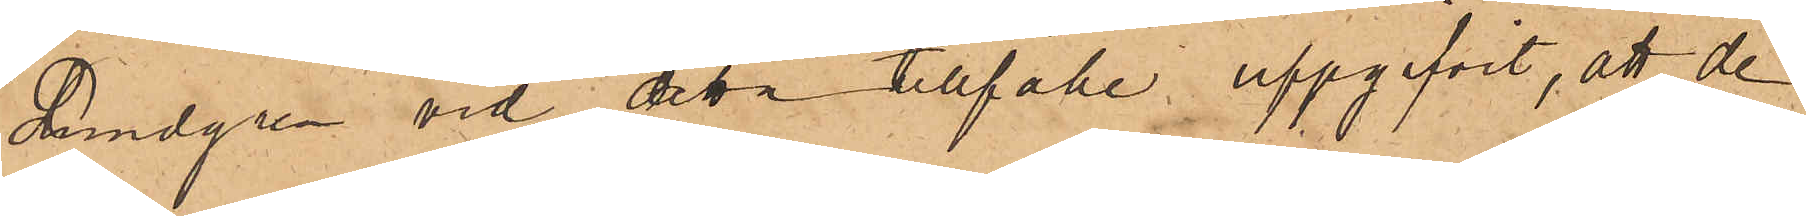Lundgren vid detta tillfälle uppgifvit, att de
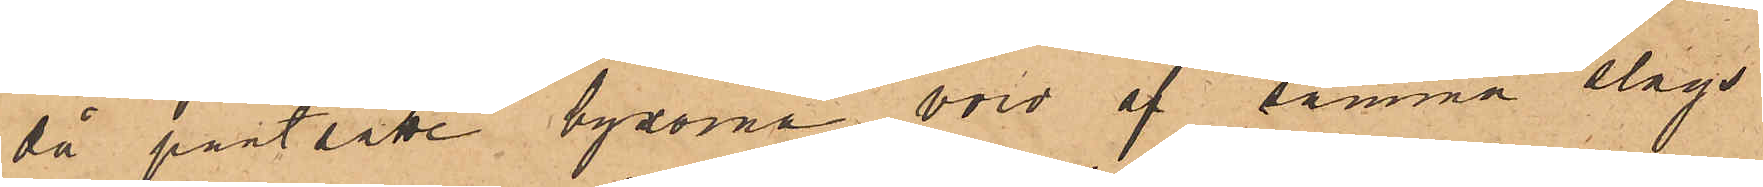då pantsatte byxorna voro af samma slags
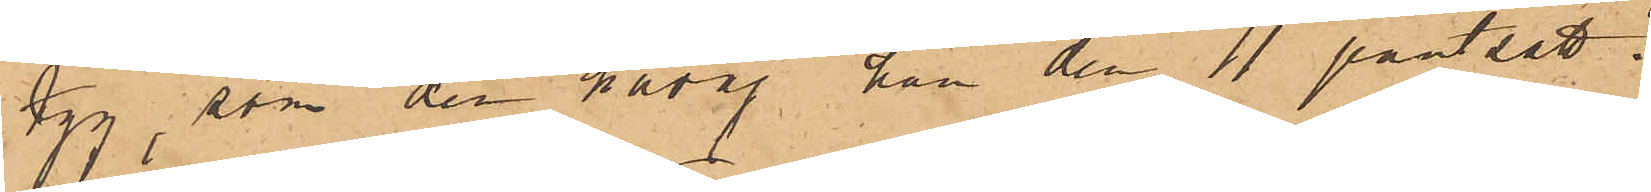tyg, som den kavaj han den 11 pantsatt.
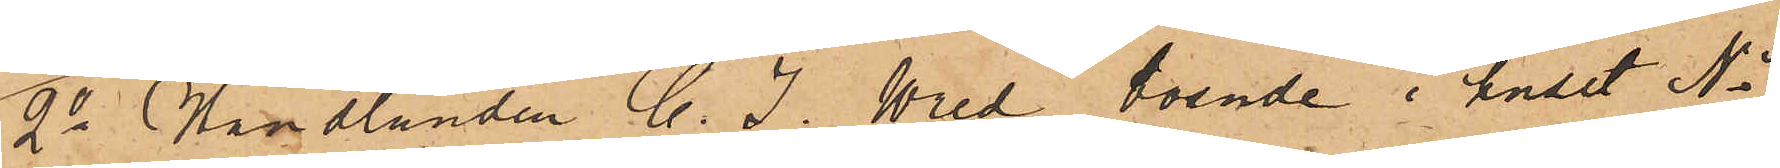2o Handlanden C. J. Wred, boende i huset No
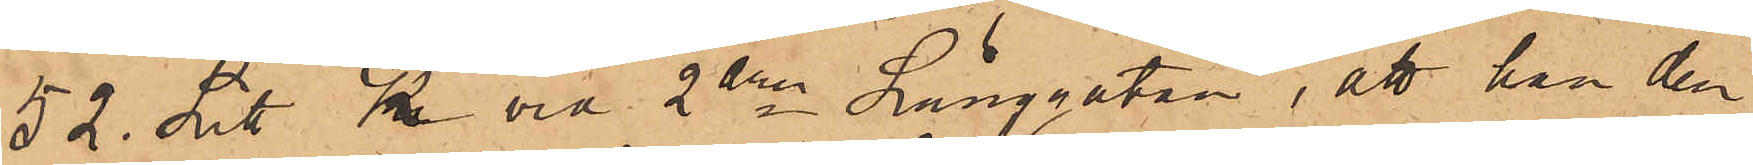52 Litt K vid 2dra Långgatan, att han den
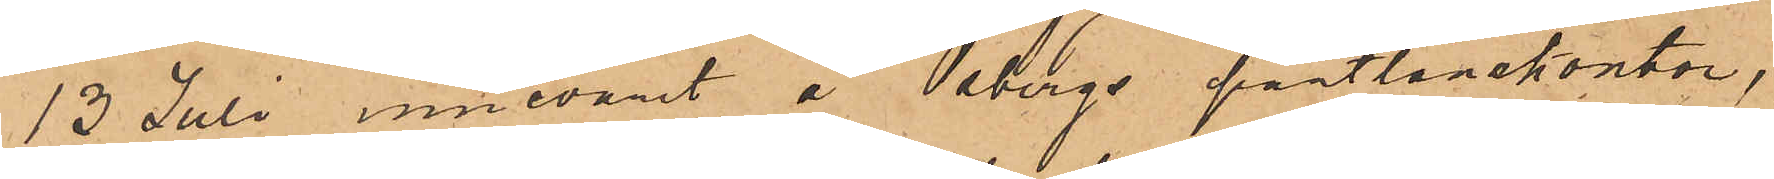13 Juli innevarit å Osbergs pantlånekontor,
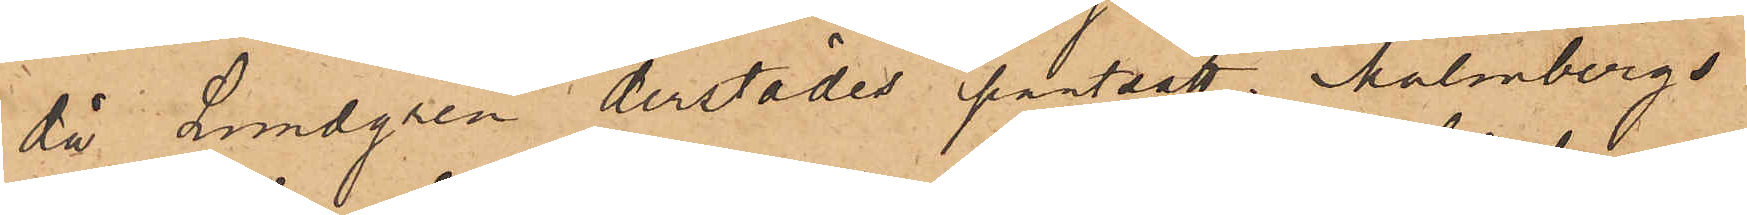då Lundgren derstädes pantsatt Holmbergs
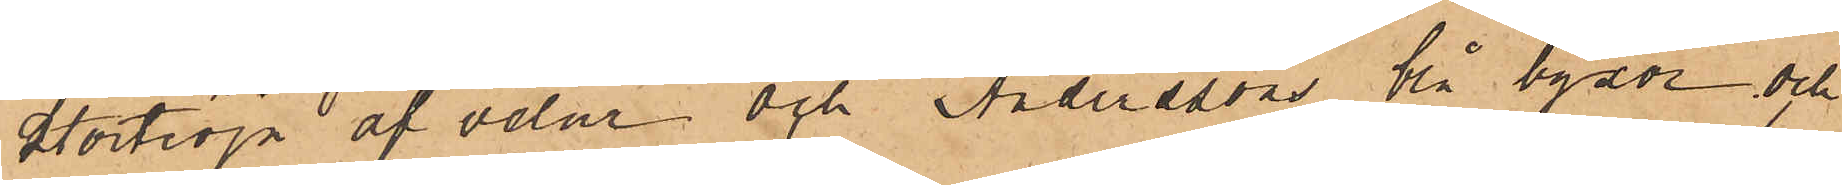stortröja af velur och Anderssons blå byxor och
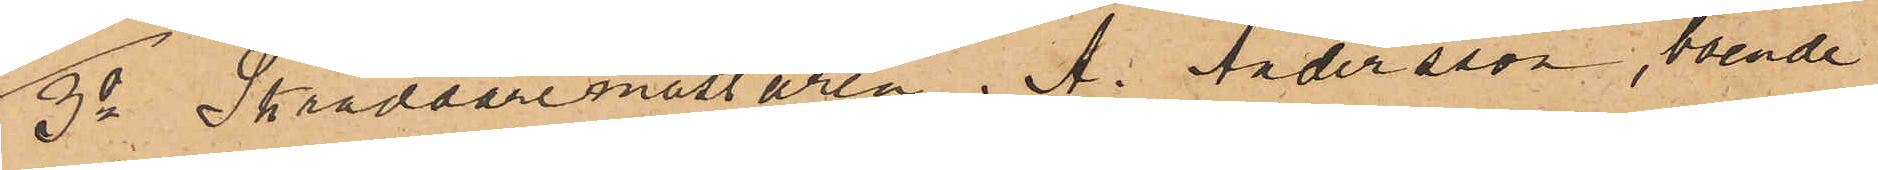3o Skräddaremästaren A. Andersson, boende
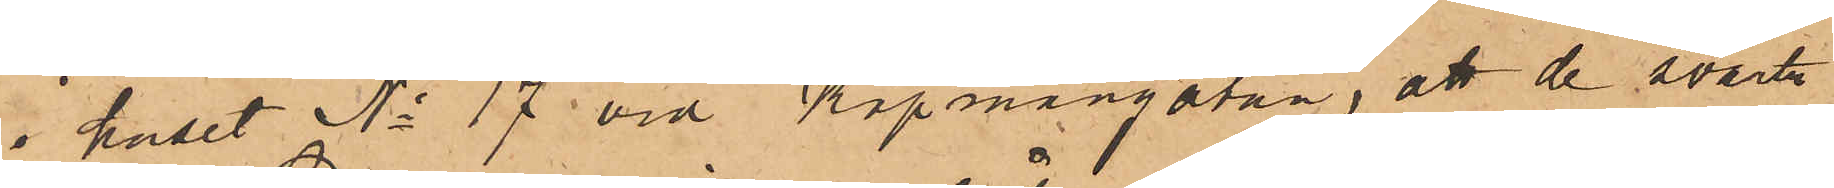i huset No 17 vid Köpmangatan, att de svarta
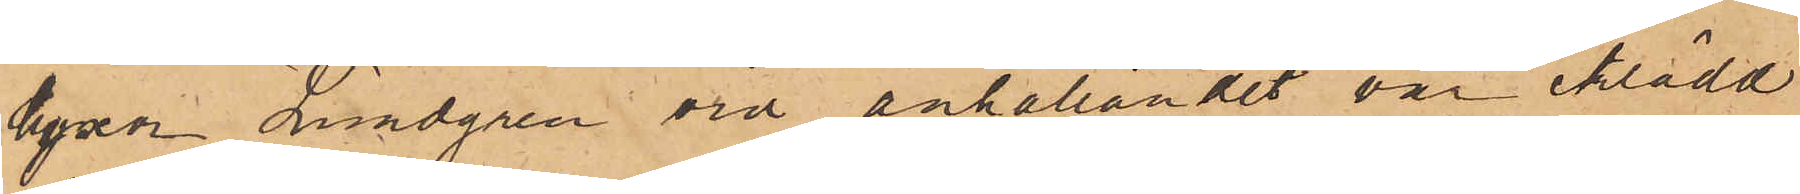byxor Lundgren vid anhållandet var iklädd
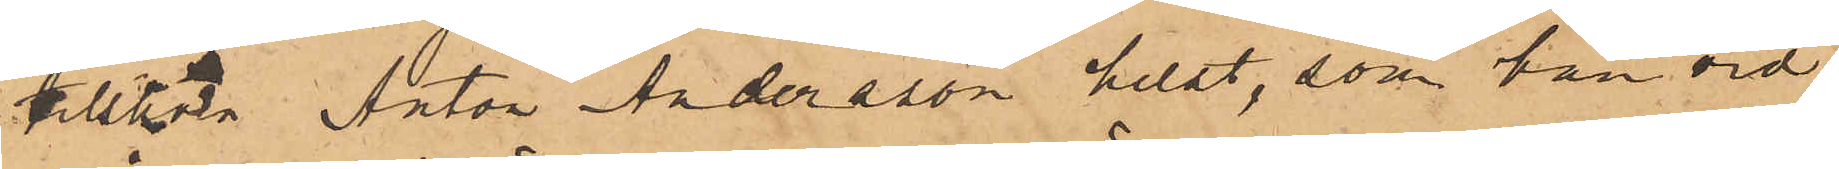tillhöra Anton Andersson helst, som han vid
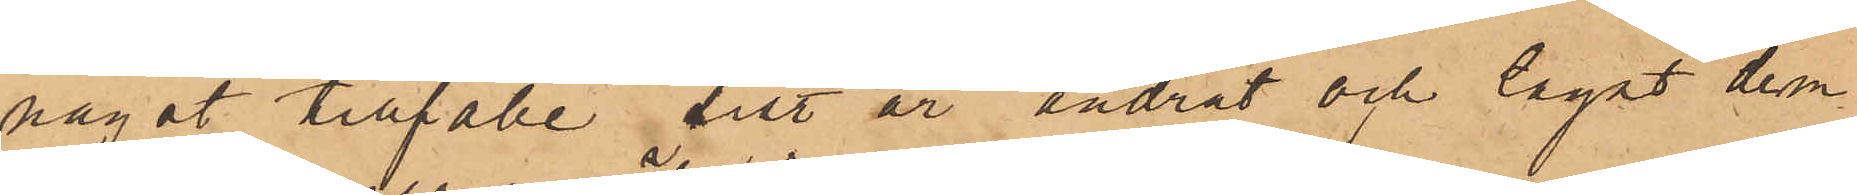något tillfälle sist. år ändrat och lagat dem
